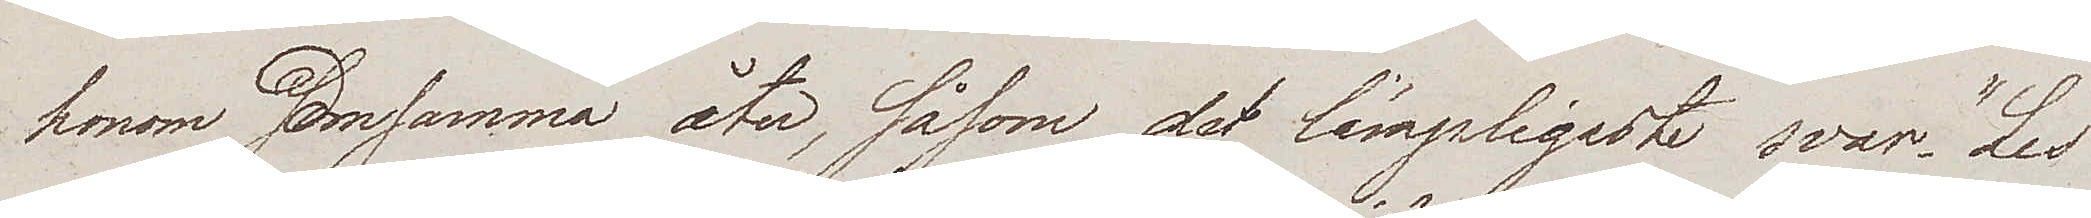honom densamma åter, såsom det lämpligaste svar "Les
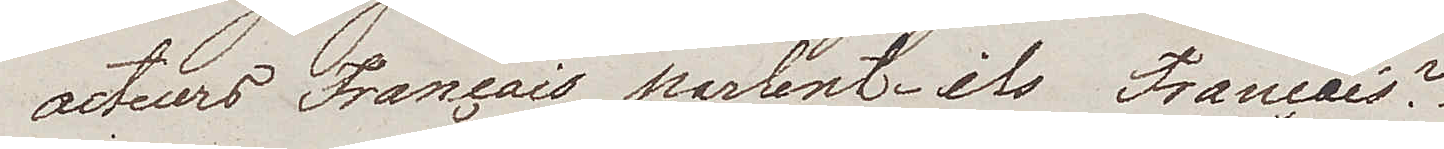acteurs Francais parlent- ils Francais?
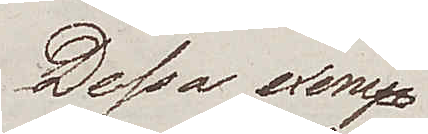Dessa exem¬
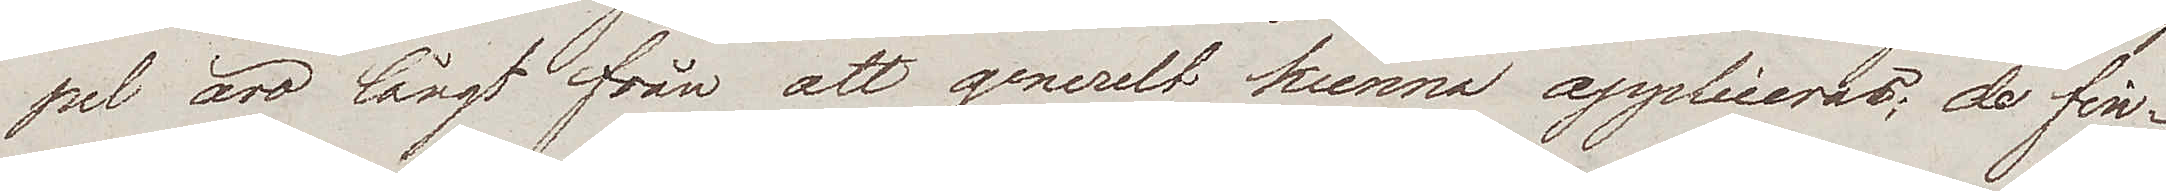pel äro långt från att generelt kunna appliceras; de fin¬
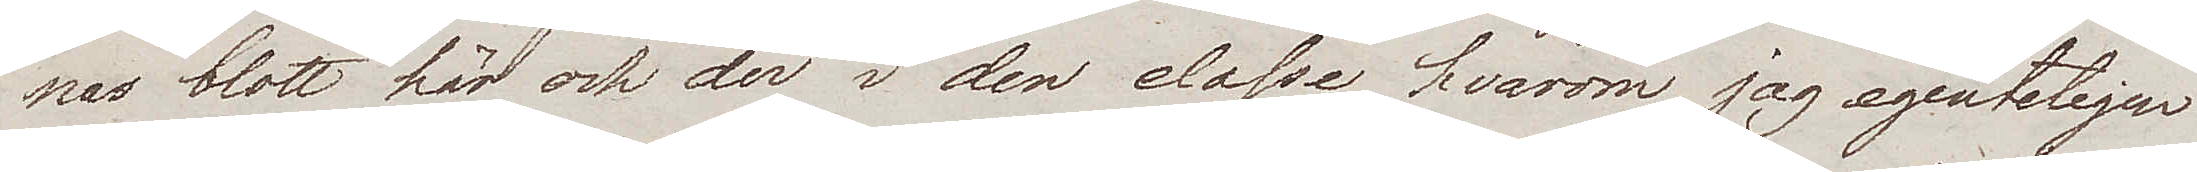nas blott här och der i den classe hvarom jag egenteligen
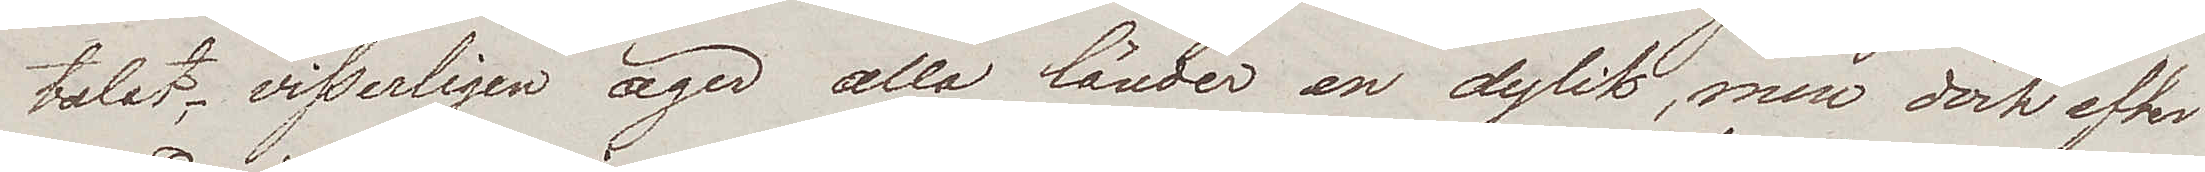talat, visserligen äger alla länder en dylik, men dock efter
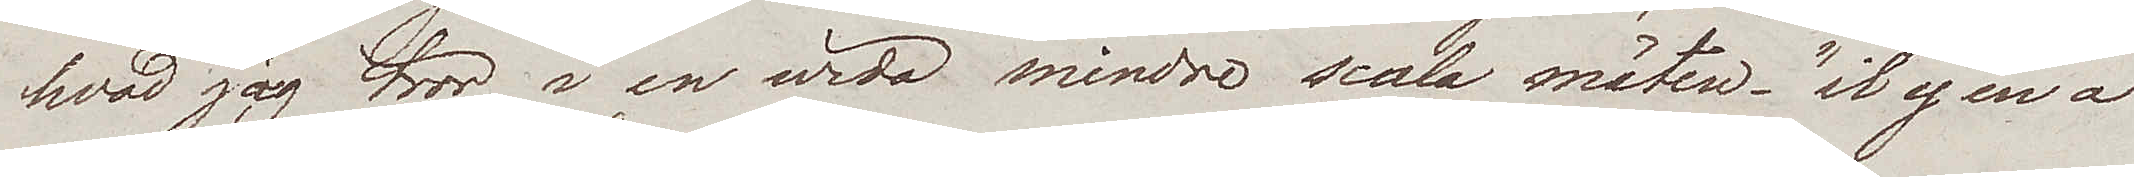hvad jag tror i en wida mindre scala mäten "il y en a
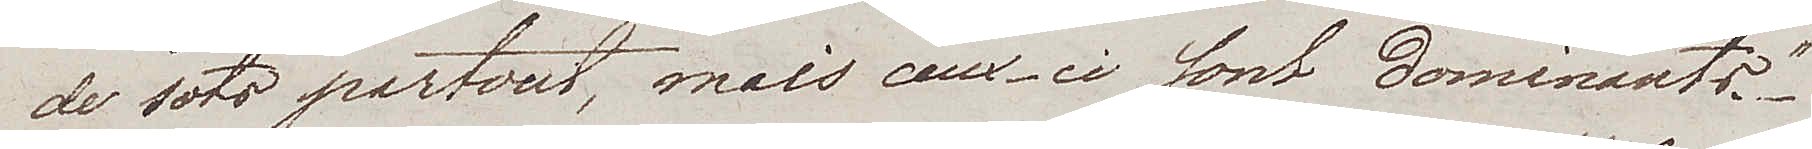de sots partout, mais ceux-ci sont dominants".
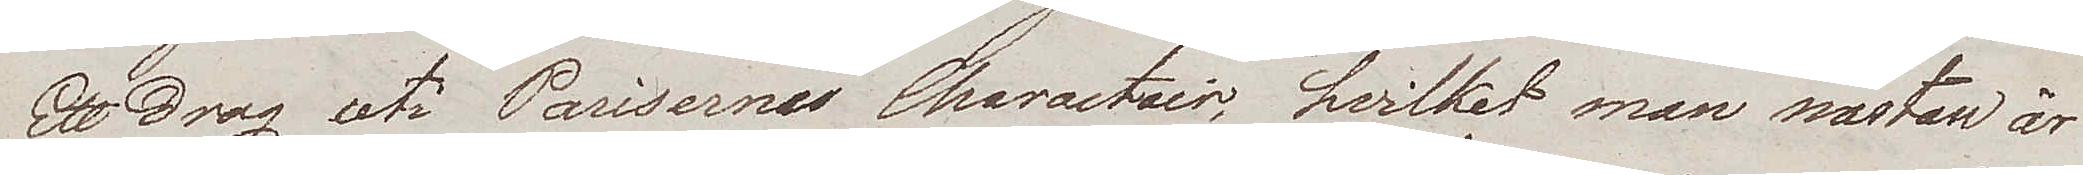Ett drag uti Parisernas Charactair, hvilket man nästan är
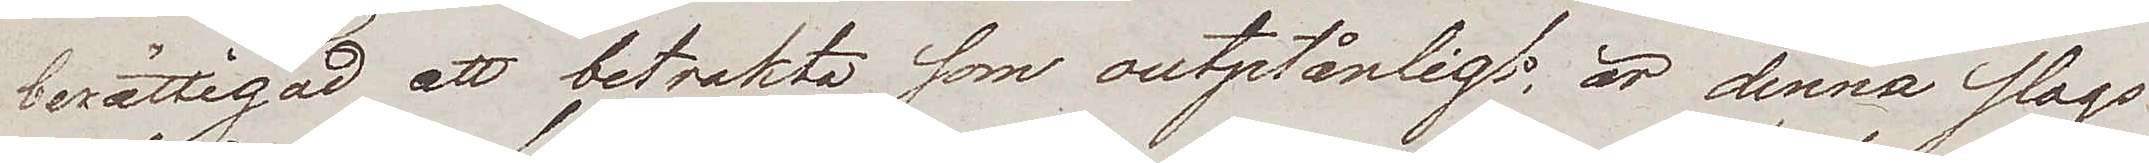berättigad att betrakta som outplånligt, är denna slags
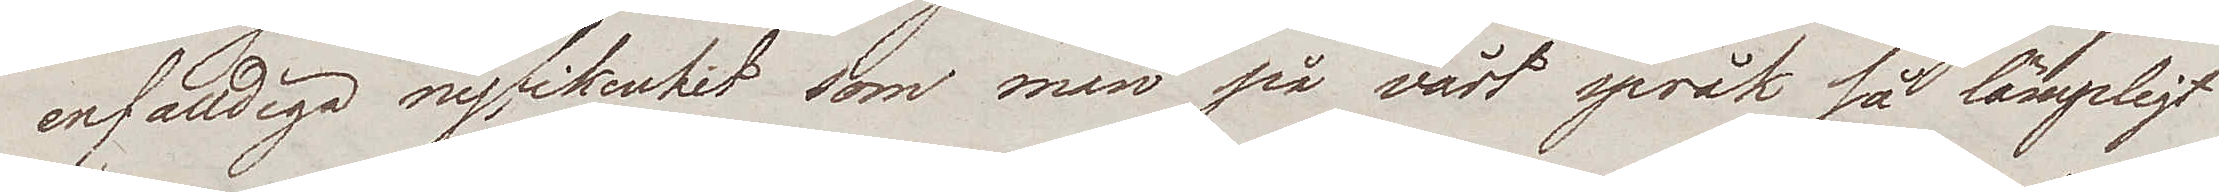enfalldiga nyfikenhet som man på vårt språk så lämpligt
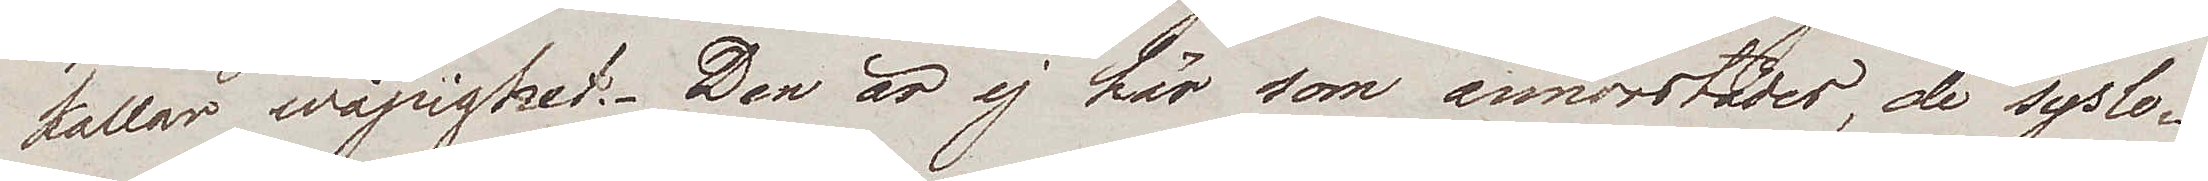kallar wåpighet. Den är ej här som annorstädes, de syslo¬
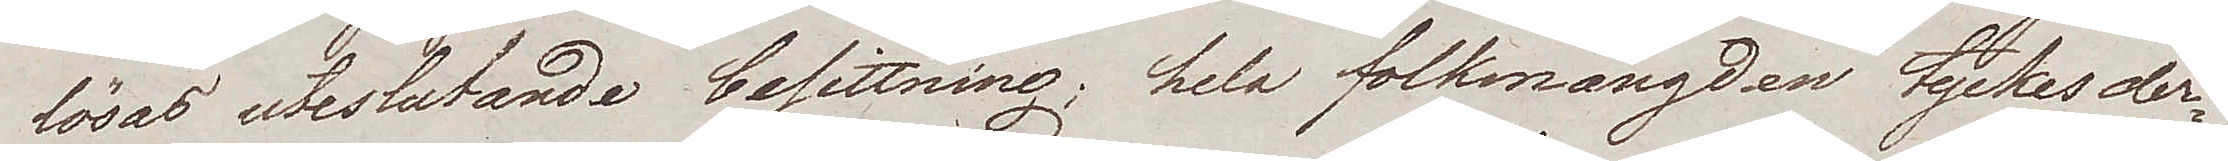lösas uteslutande besittning; hela folkmängden tyckes der¬
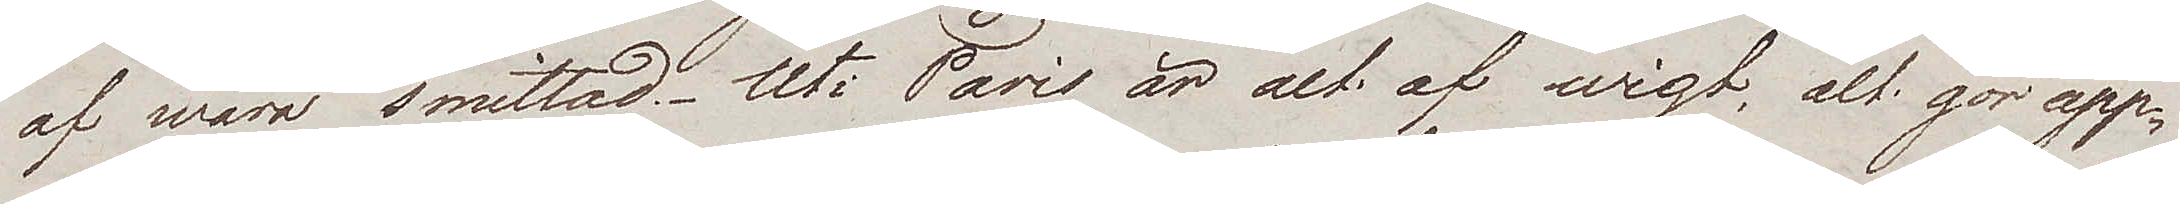af wara smittad. Uti Paris är alt af wigt, alt gör upp¬
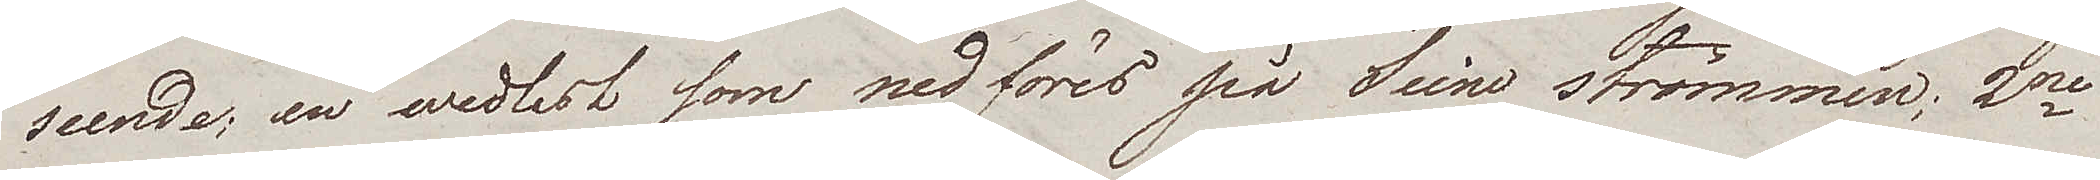seende, en wedlest som nedföres på Seine strömmen; 2ne
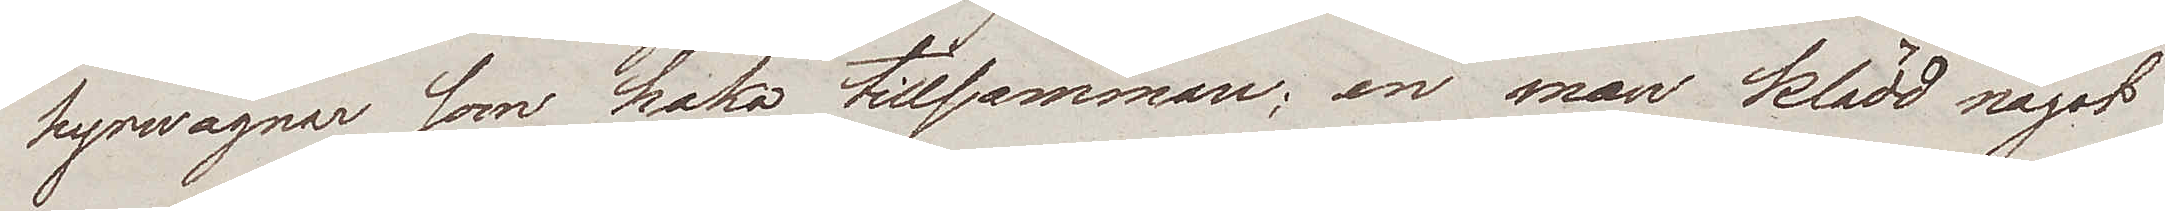hyrwagnar som haka tillsamman; en man klädd något
